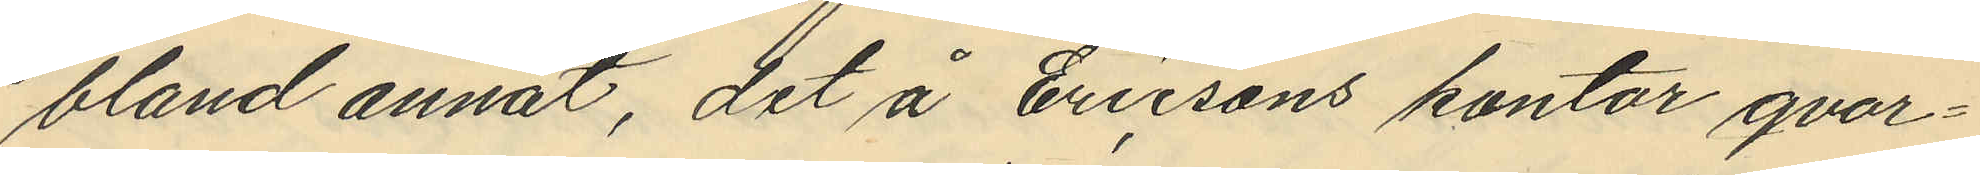bland annat, det å Ericsons kontor qvar¬
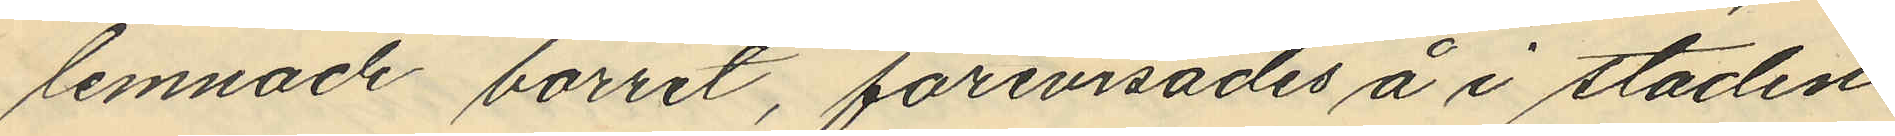lemnade borret, förevisades å i staden
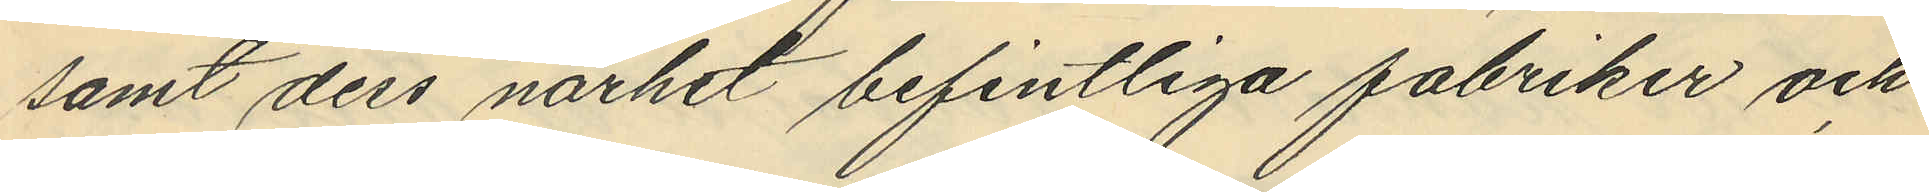samt dess närhet befintliga fabriker och
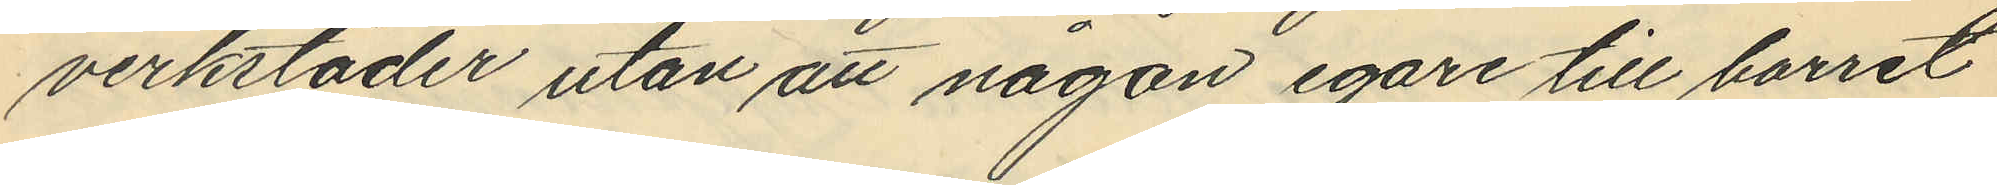verkstäder utan att någon egare till borret
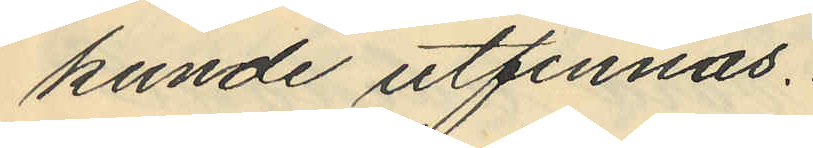kunde utfinnas.
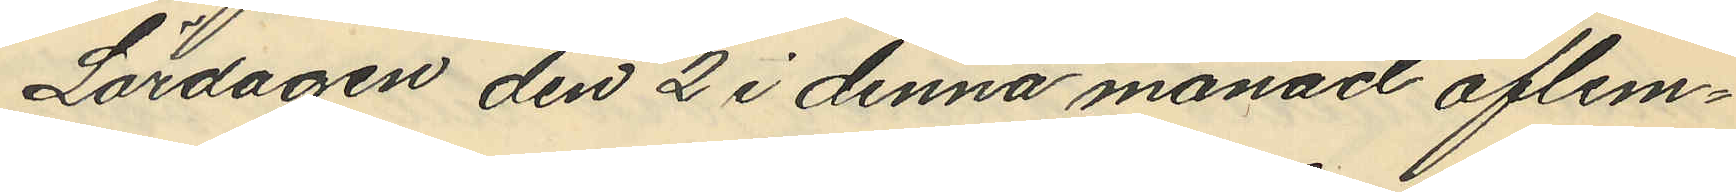Lördagen den 2 i denna månad aflem¬
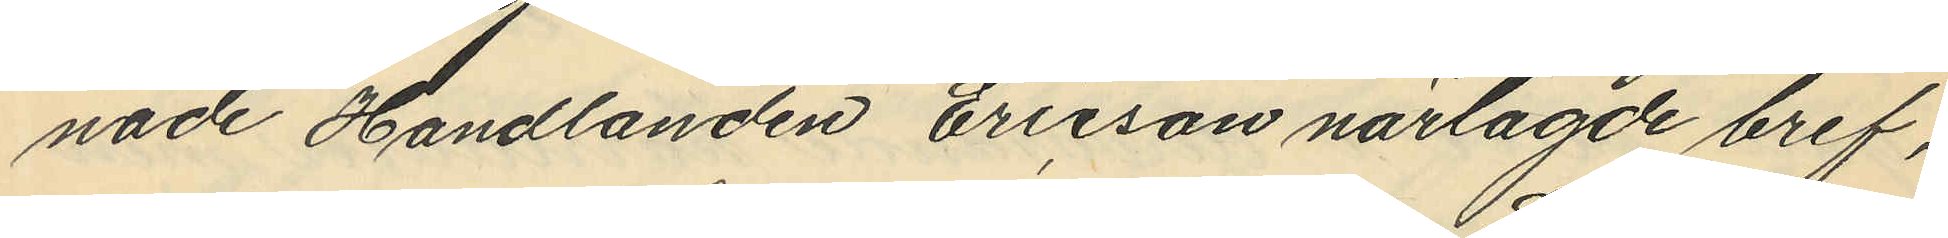nade Handlanden Ericson närlagde bref,
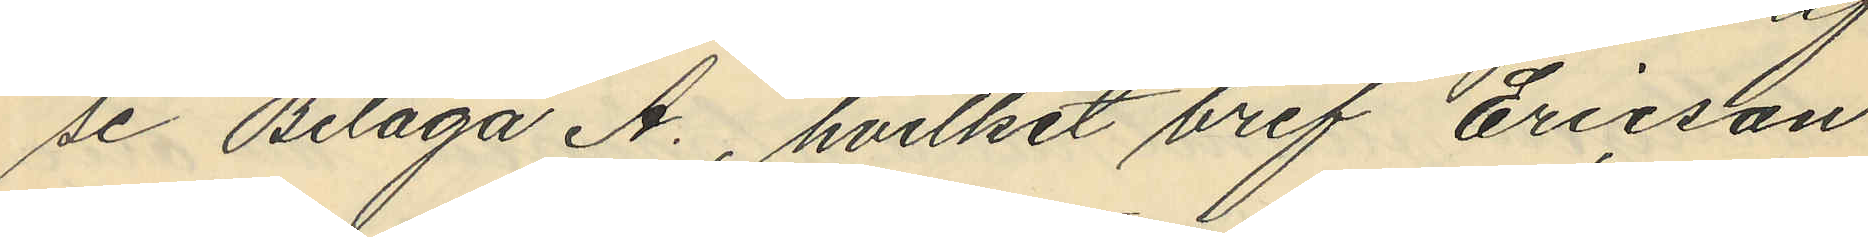se Bilaga A., hvilket bref Ericson
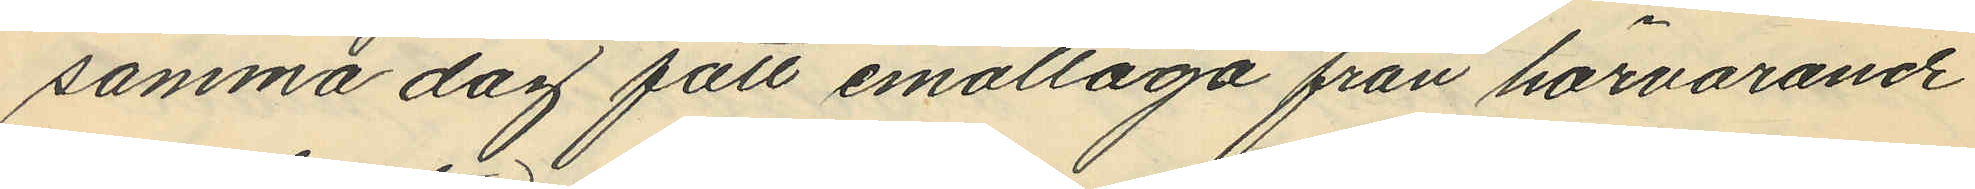samma dag fått emottaga från härvarande
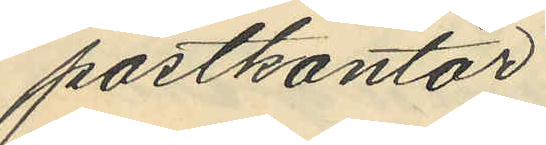postkontor.
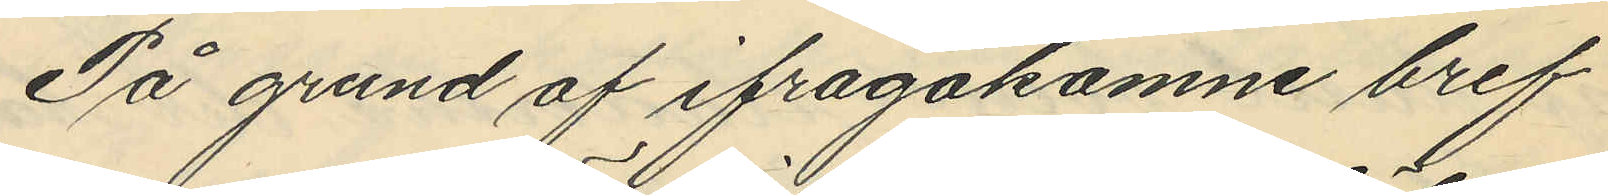På grund af ifrågakomne bref
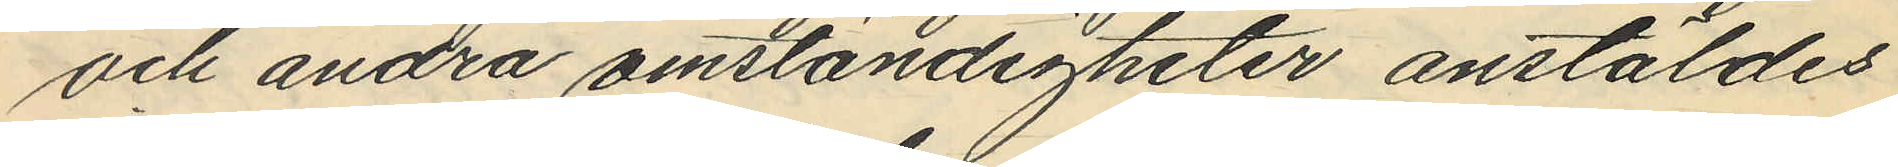och andra omständigheter anstäldes
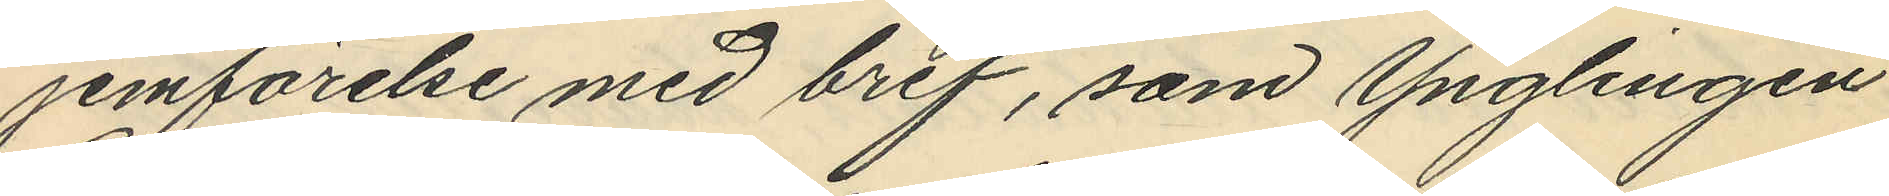jemförelse med bref, som Ynglingen
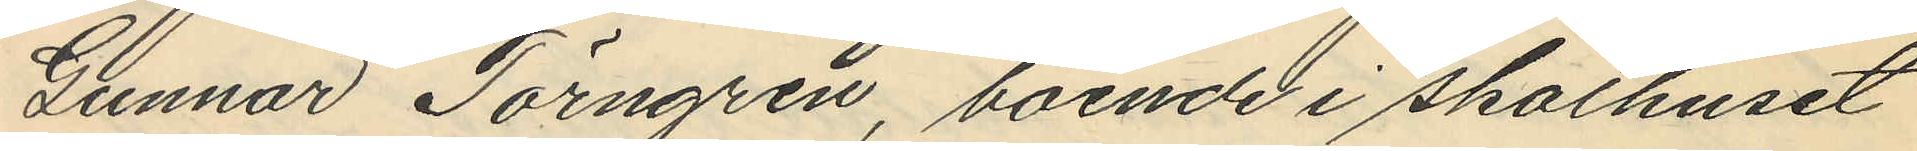Gunnar Törngren, boende i skolhuset
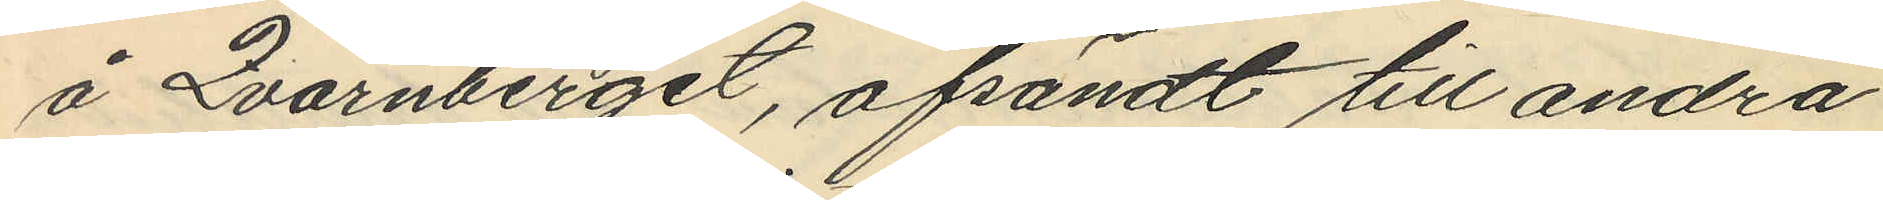å Qvarnberget, afsändt till andra
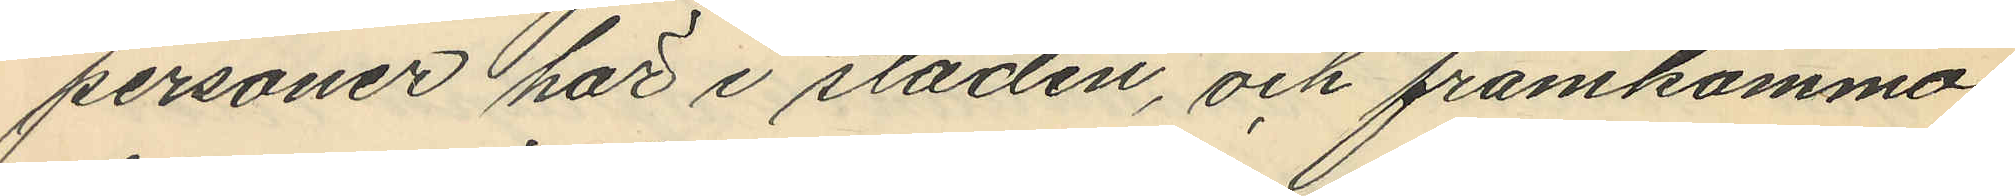personer här i staden, och framkommo
